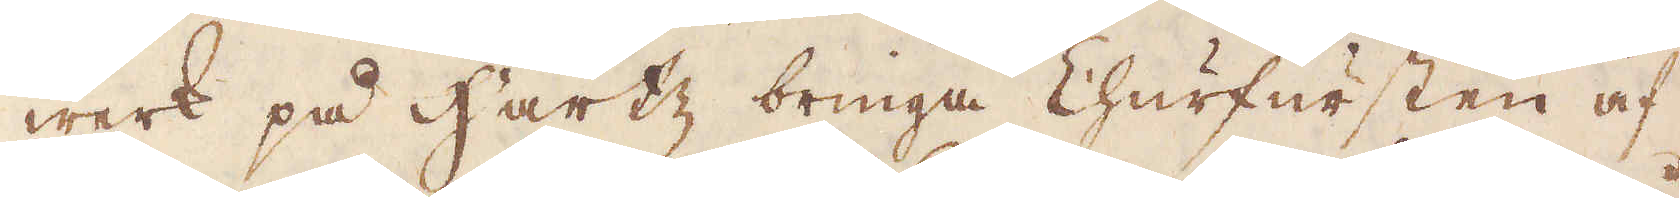werk på Hartz bringa Churfursten af
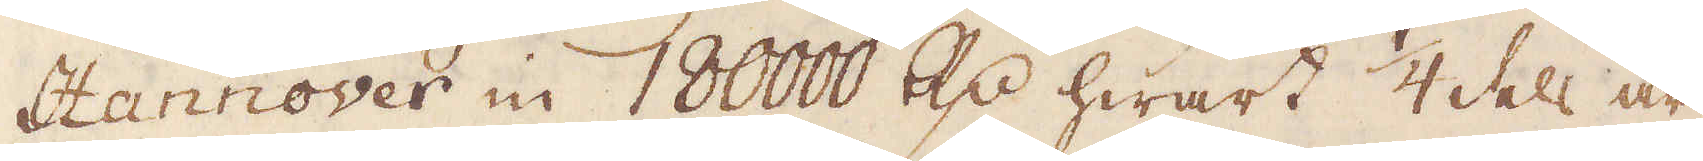Hannover in 180000 R:dr hwart 1/4 dels år;
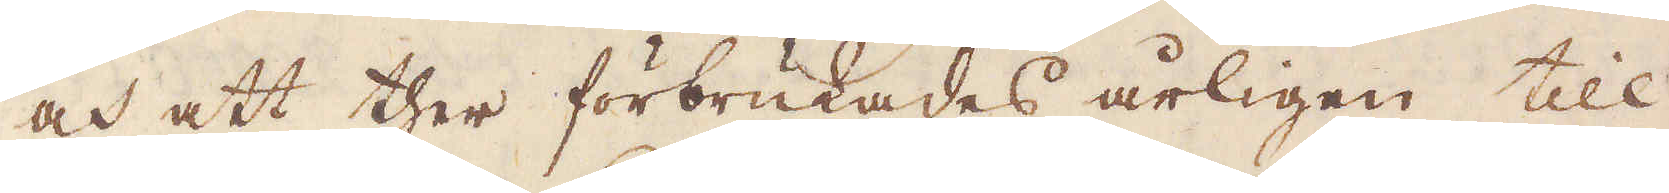och att ther förbrukades årligen till
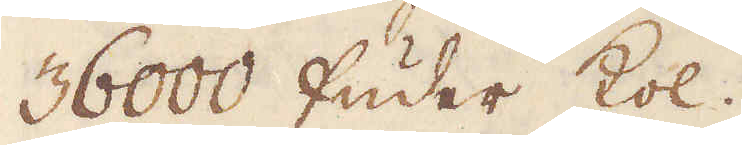36000 fuder kol.
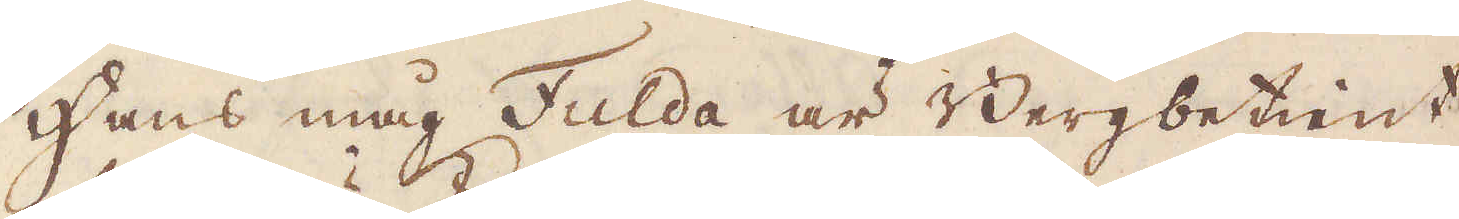Hans måg Fulda är Bergbetient
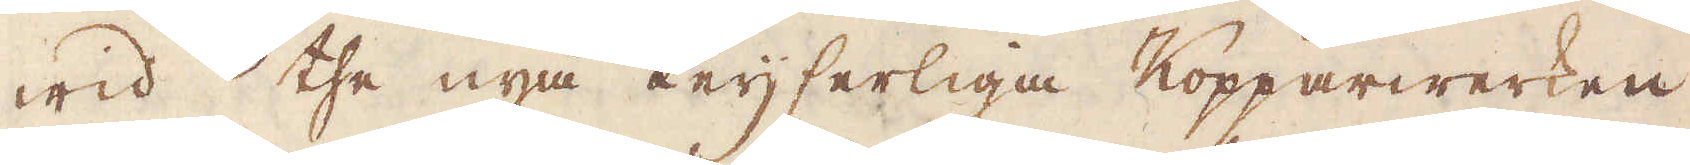wid the nya Keijserliga Kopparwerken
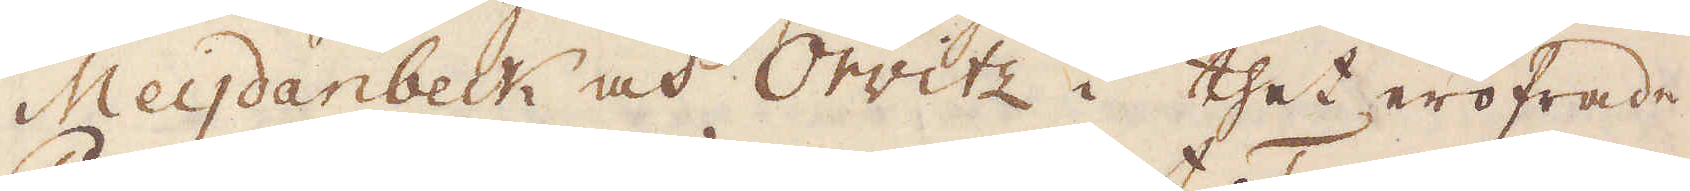Meijdanbeck och Orwitz i thet eröfrade
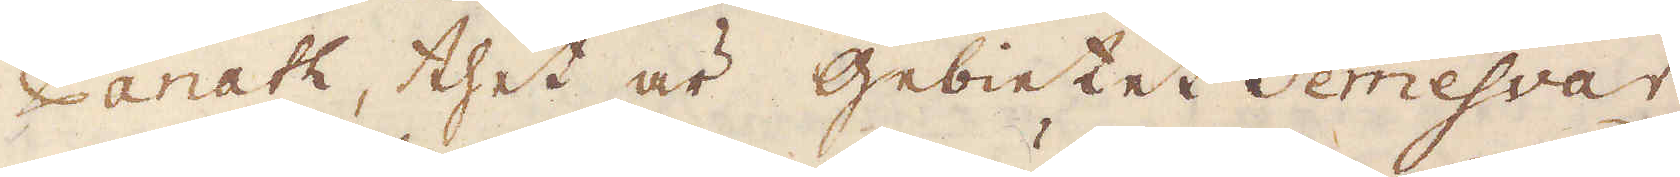Panath, thet är Gebietet Temesvar,
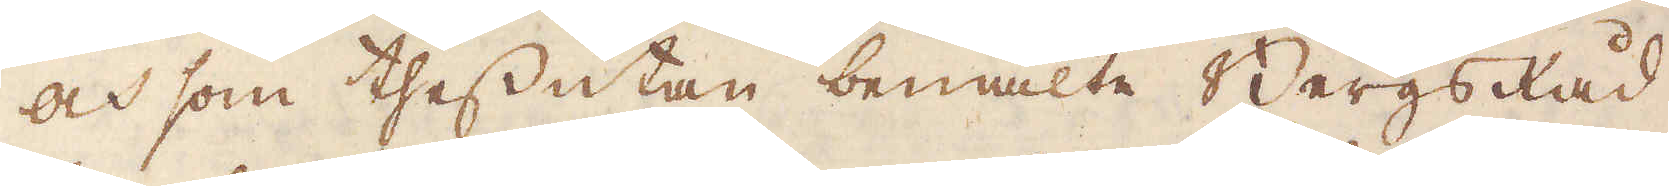och som thessutan bemälte Bergsråd
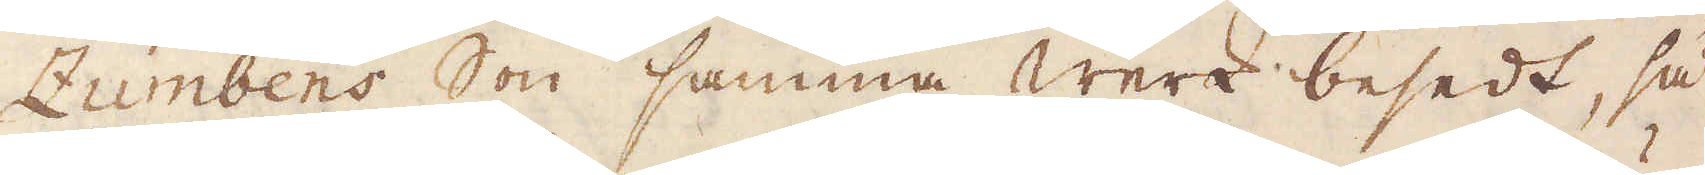Zumbens Son samma werk besedt, så
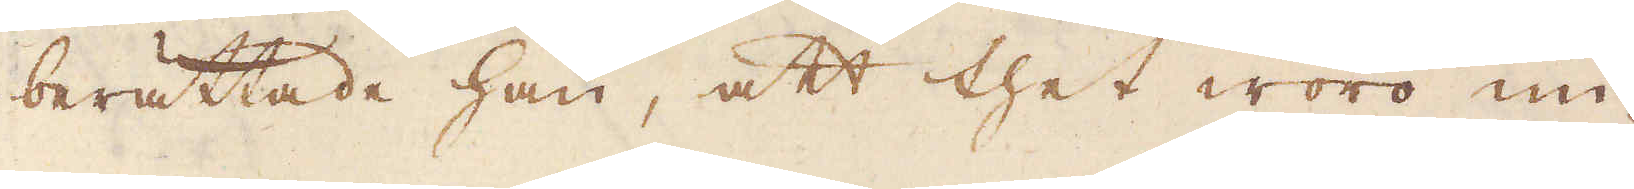berättade han, att thet woro nu
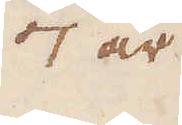7 år
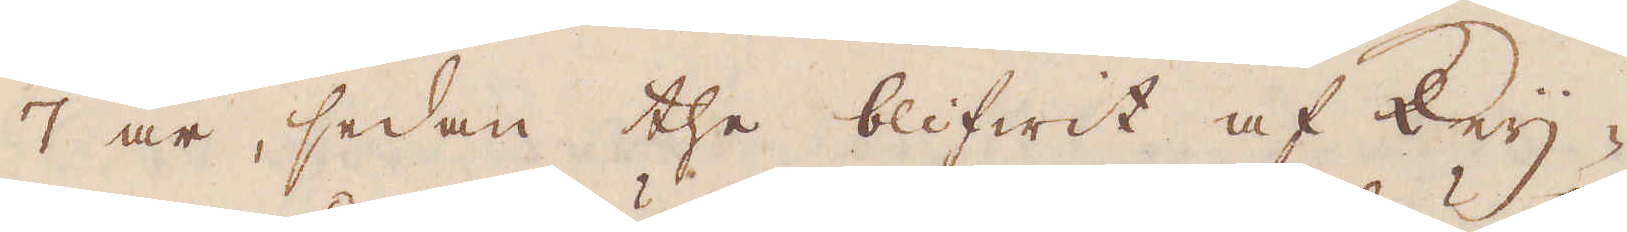7 år, sedan the blifwit af Keij-
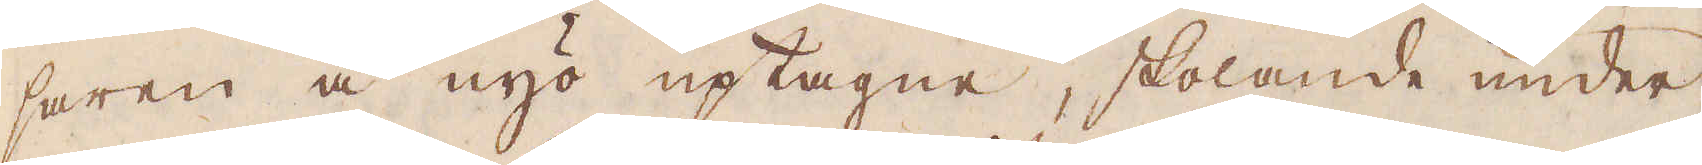saren å nyo uptagne, skolande under
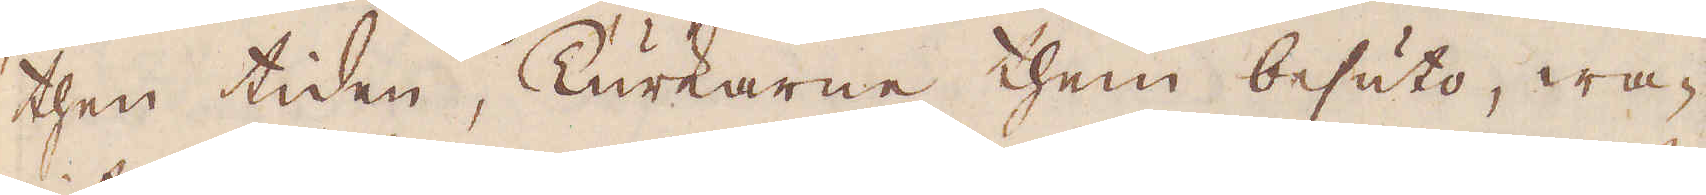then tiden, Turkarne them besuto, wa-
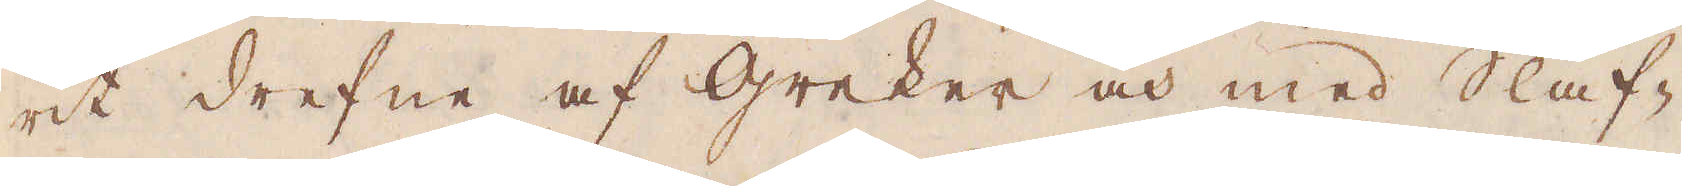rit drefne af Greker och med Slaf-
